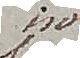in
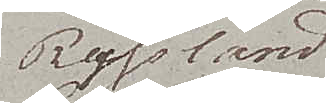Ryssland
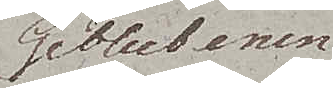Geblutenen.
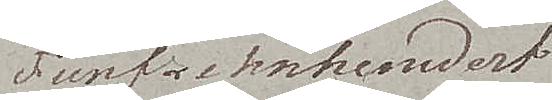Fünfzehn hundert
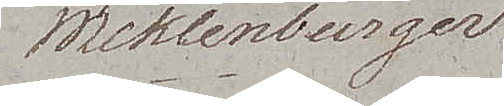Meklenburger.
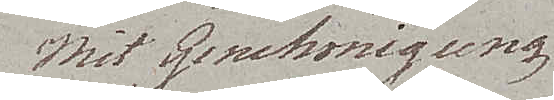Mit Genehmigung
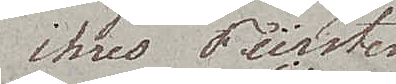ihres Fürsten
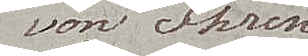von Ihren
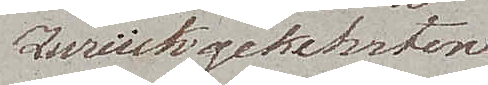Zurückgekehrten 
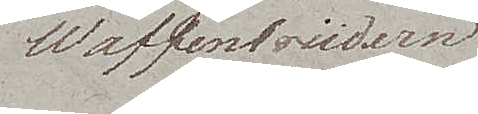Waffenbrüdern
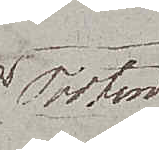Toten
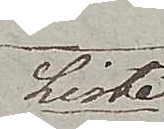Liste
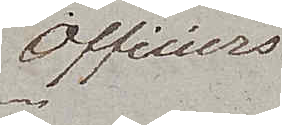Officiers
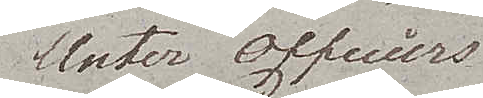Unter Officiers
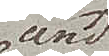und
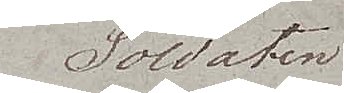Soldaten
